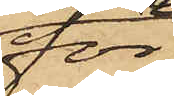för
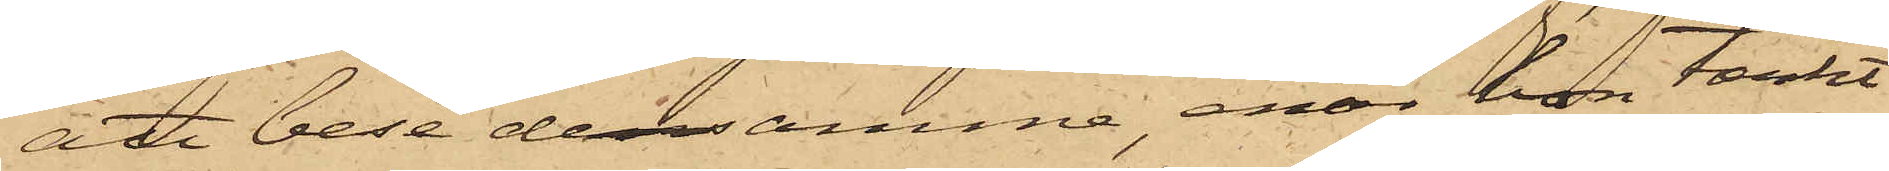att bese densamme, enär hon tänkt
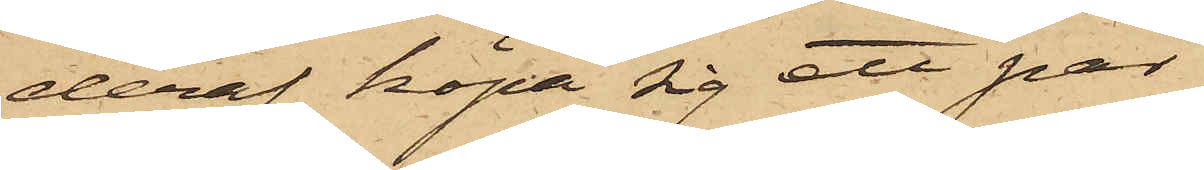deraf köpa sig ett par,
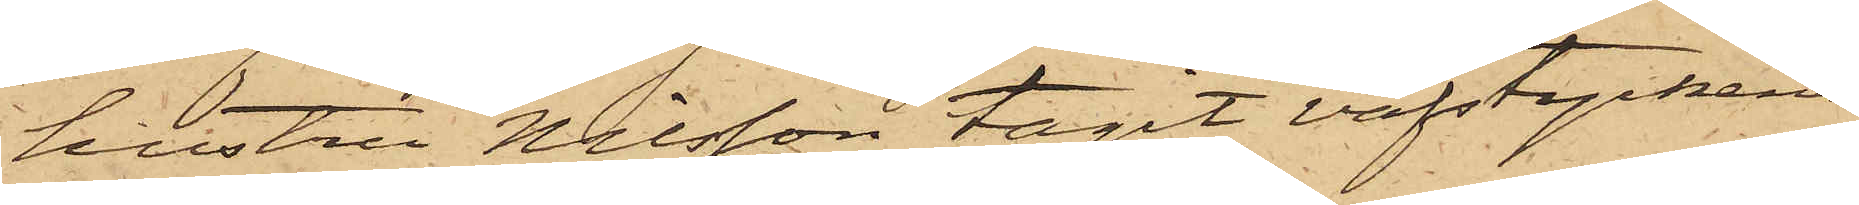hustru Nilsson tagit väfstyckena
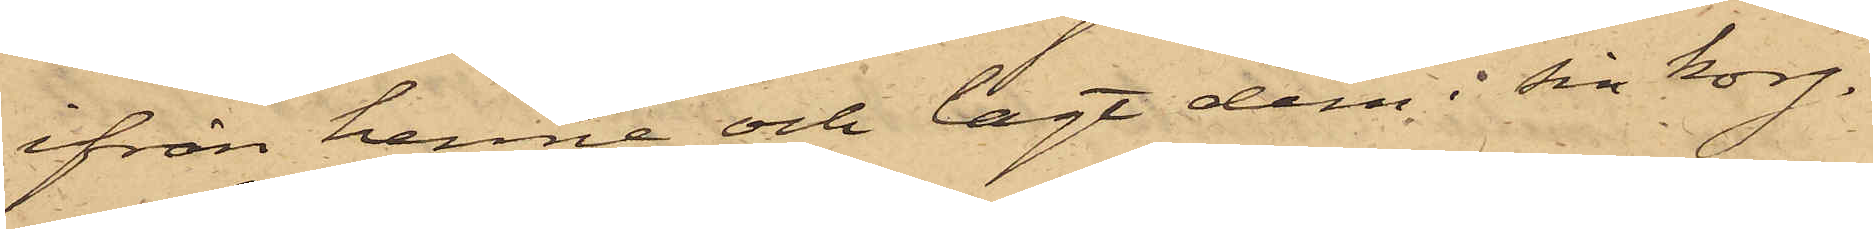ifrån henne och lagt dem i sin korg.
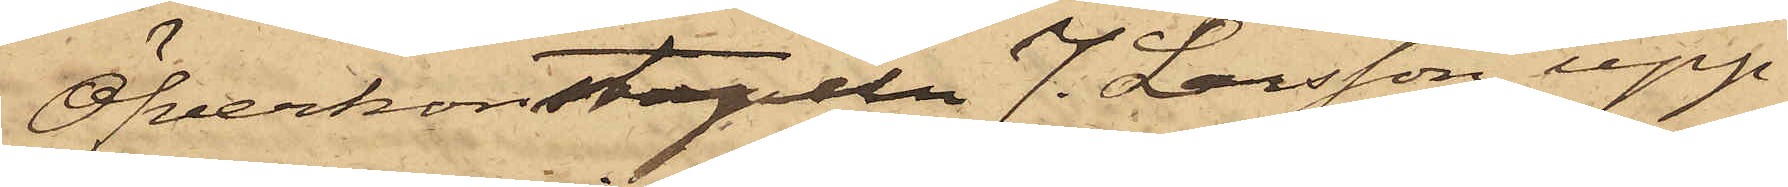Öfverkonstapeln J. Larsson, upp¬
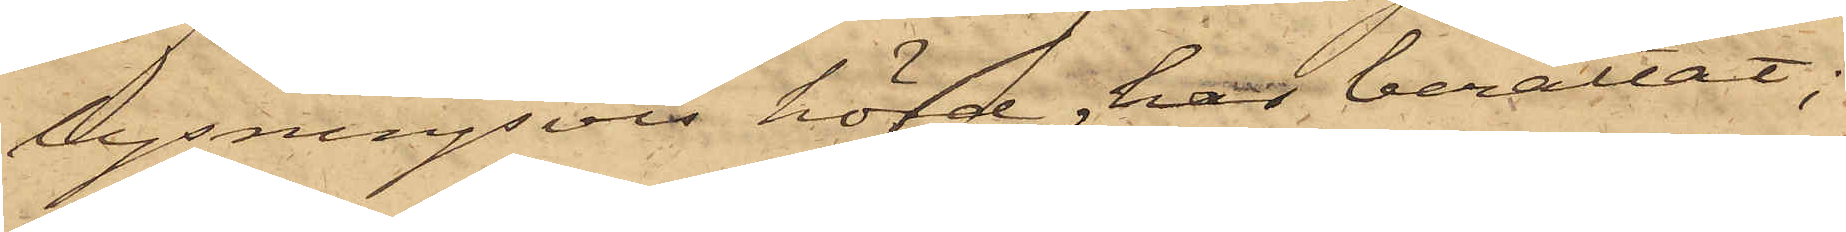lysningsvis hörd, har berättat;
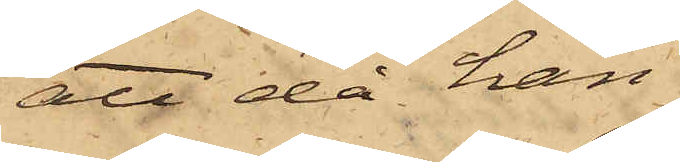att då han
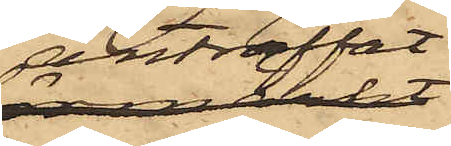anträffat
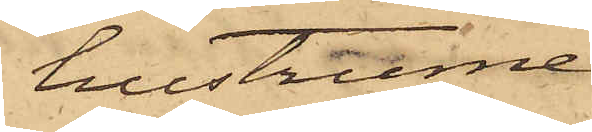hustrurne
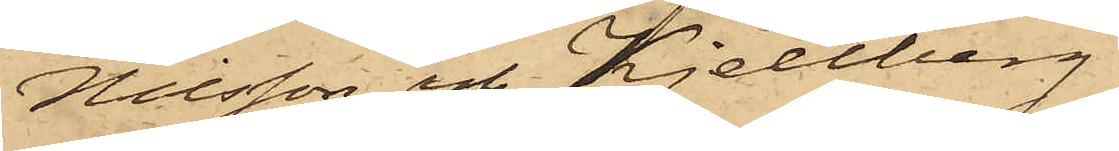Nilsson och Kjellberg
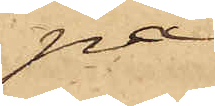på
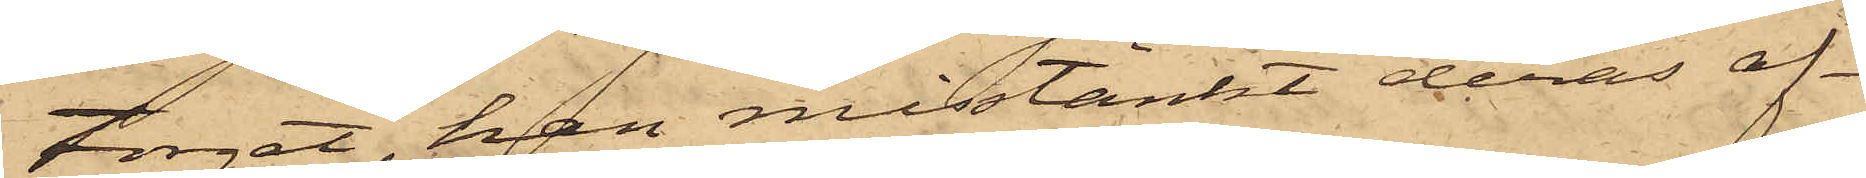torget, han misstänkt deras af¬
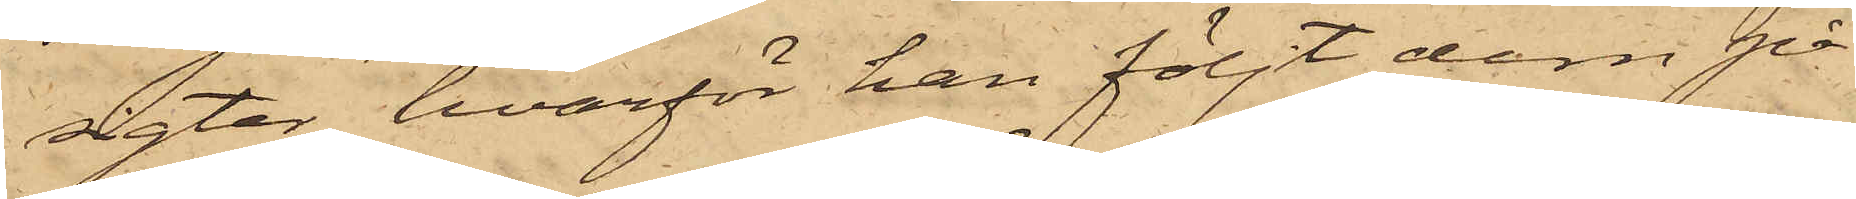sigter, hvarför han följt dem på
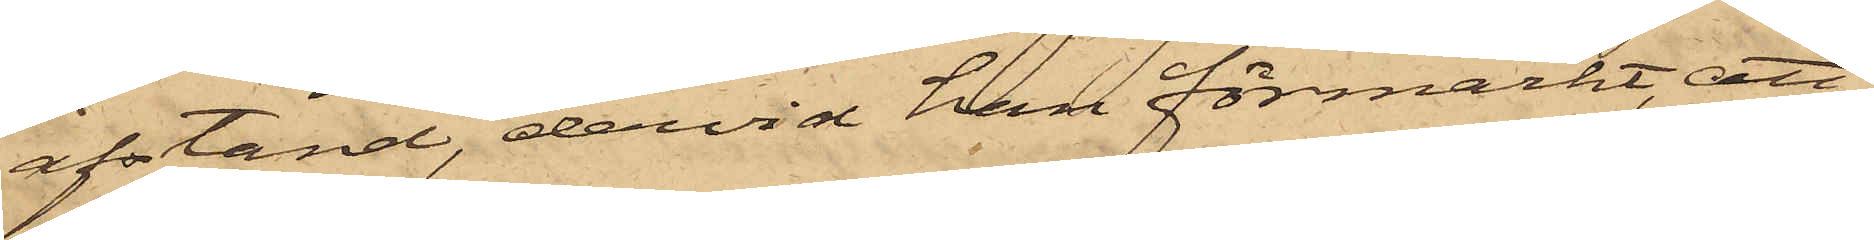afstånd, dervid han förmärkt, att
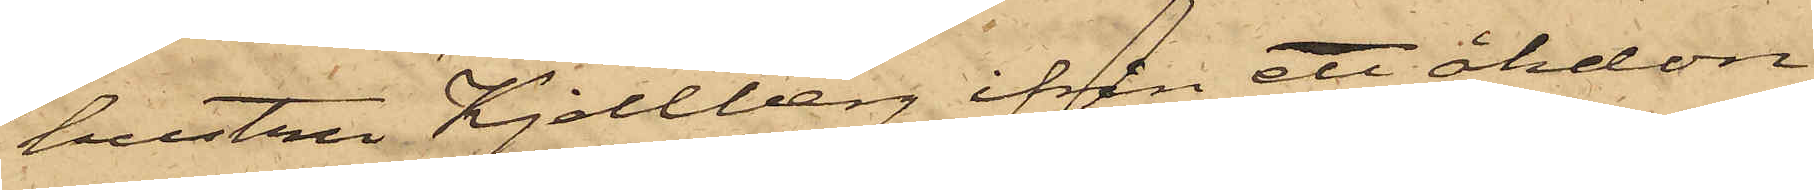hustru Kjellberg ifrån ett åkdon
